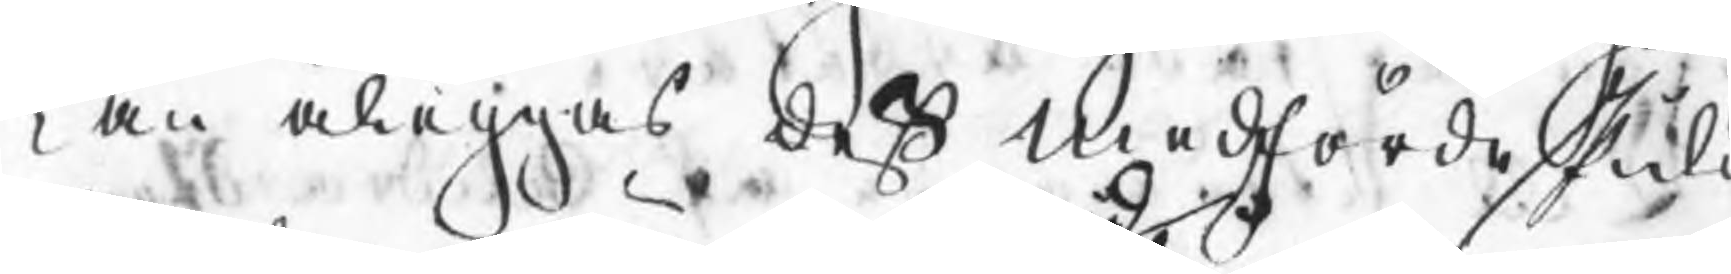kan åläggas deß medförde skuld
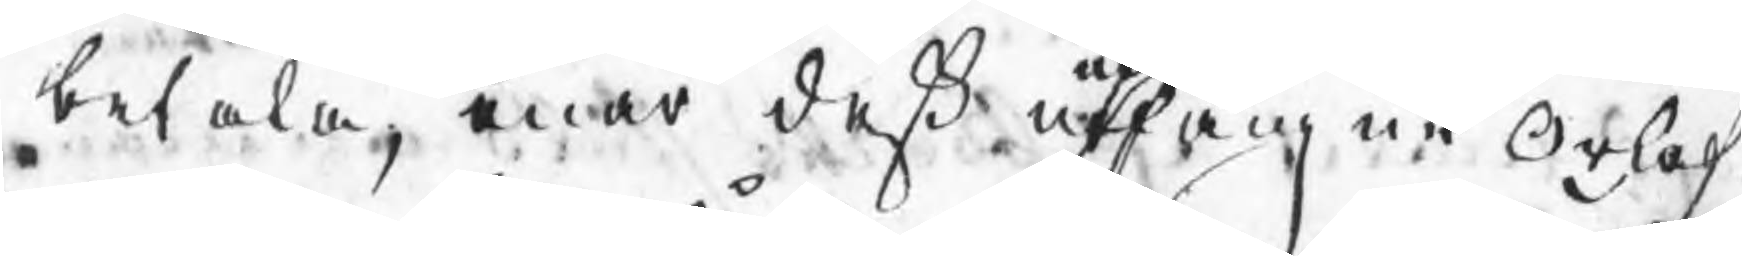betala, enär deß utndfångne Orlof¬
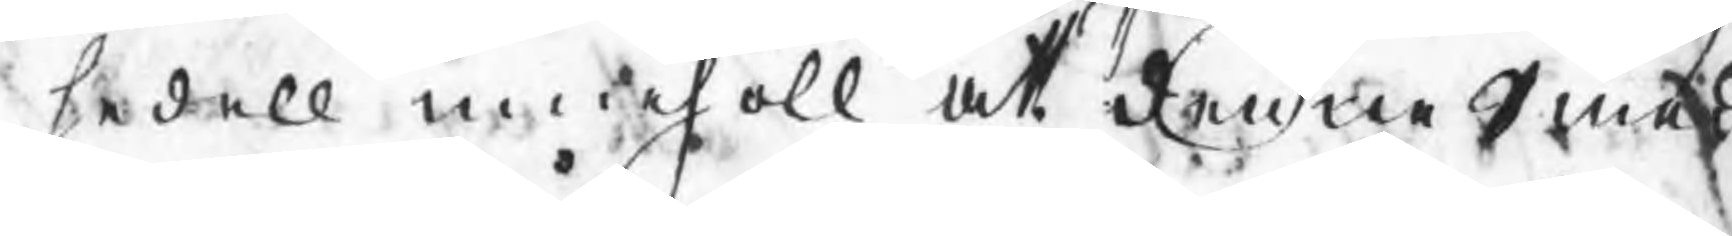sedell merhöll att denne Smed
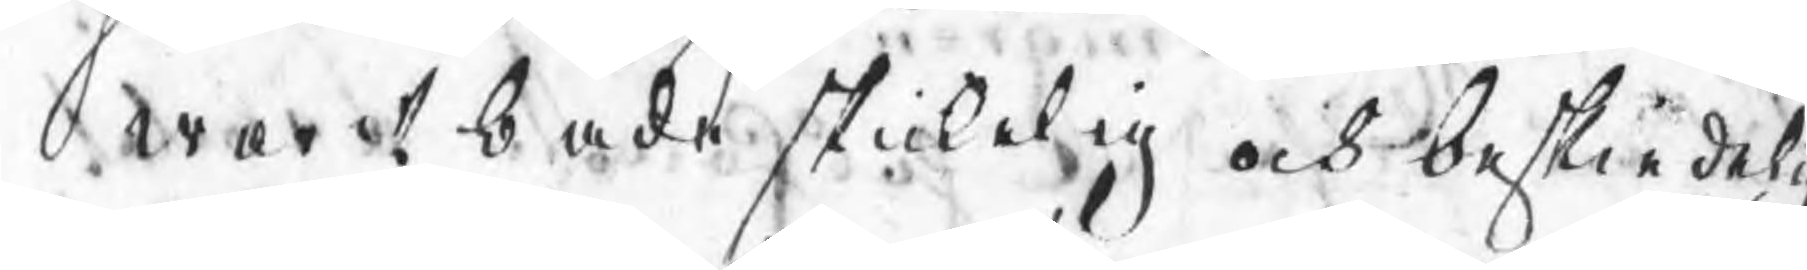warit både skickelig och beskiedelig
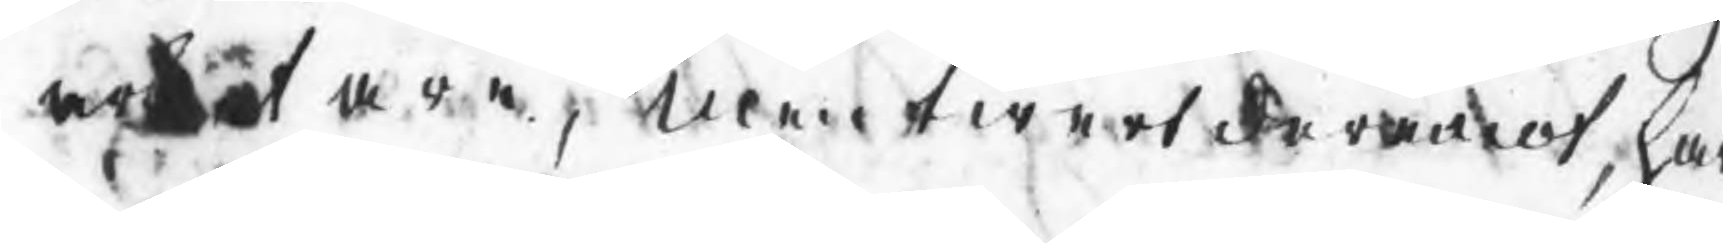arbetare, men twert deremot, har
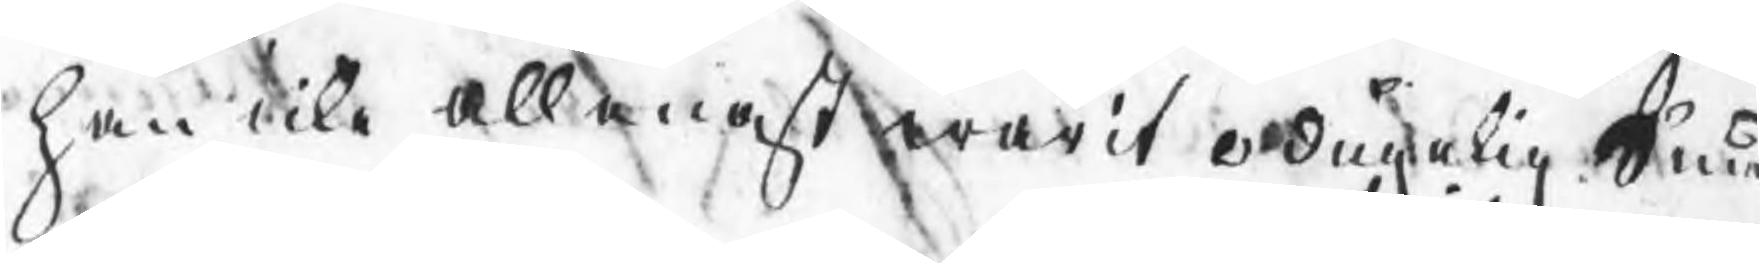han icke allenast warit odugelig Smed
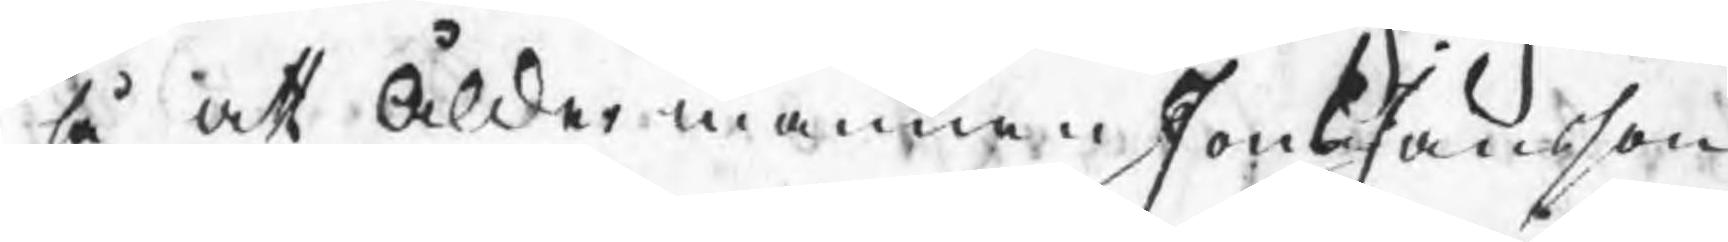så att Åldermannen Jons Jansson
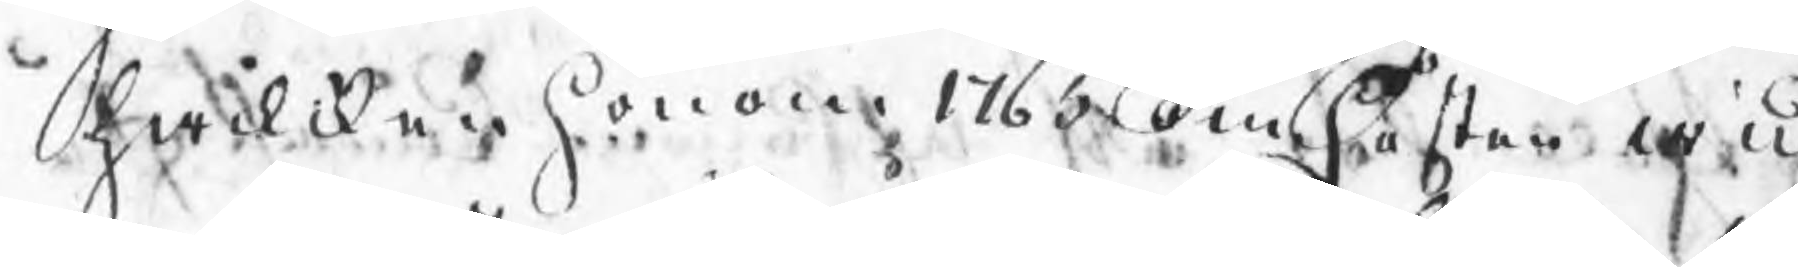hwilken honom 1765 om hösten wid
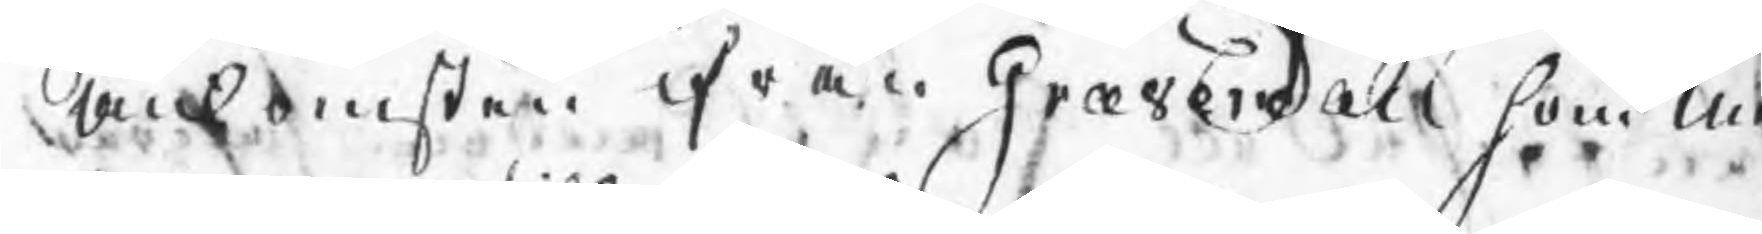ankomsten ifrån Gravendahl som Me¬
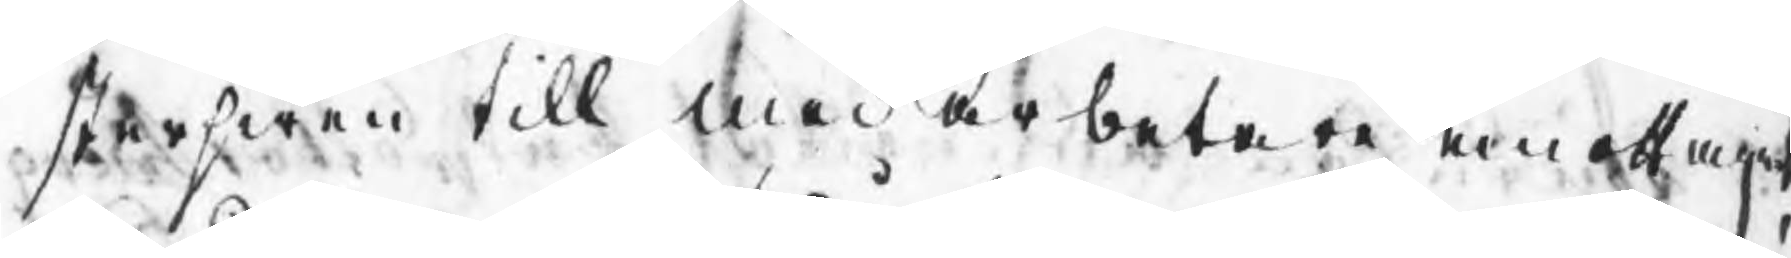sterswen till medarbetare emottagit
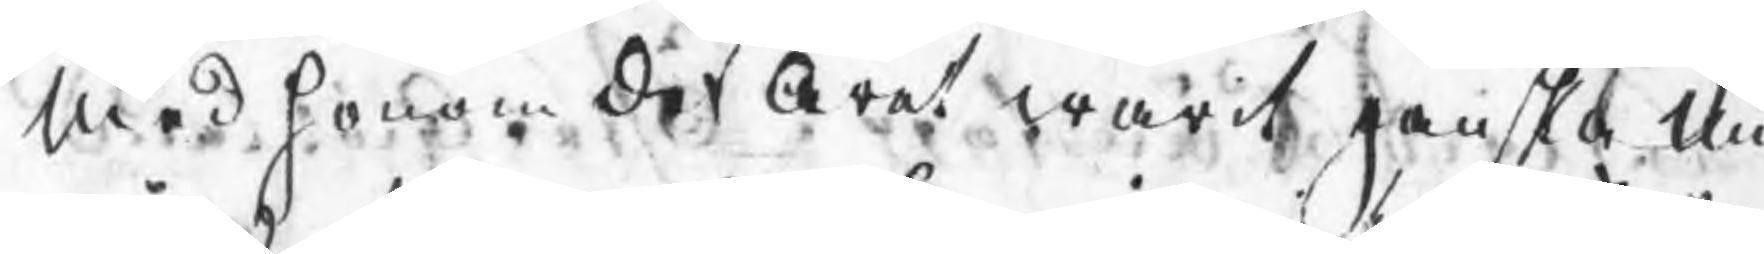med honom det Året warit ganska mis
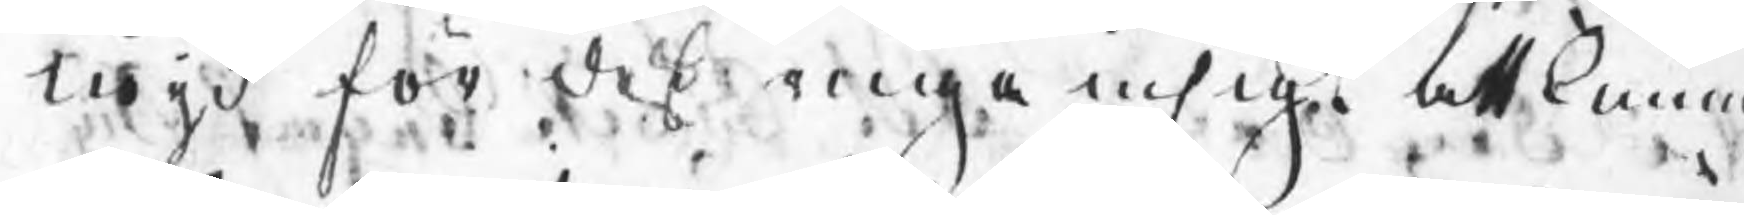nöjd för deß ringa insigt att kunna
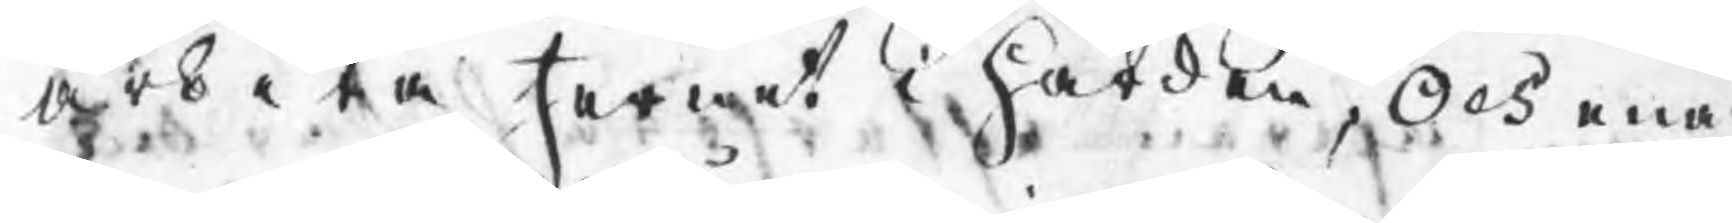arbeta Jernet i härden, Och enär
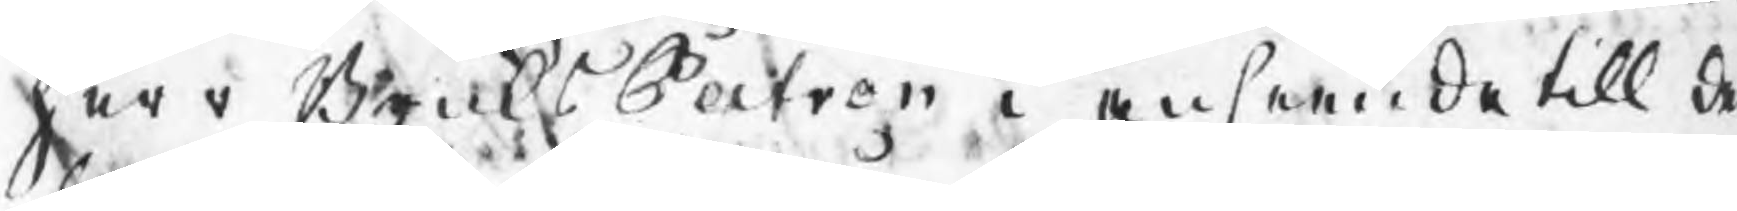Herr BruksPatron i anseende till det
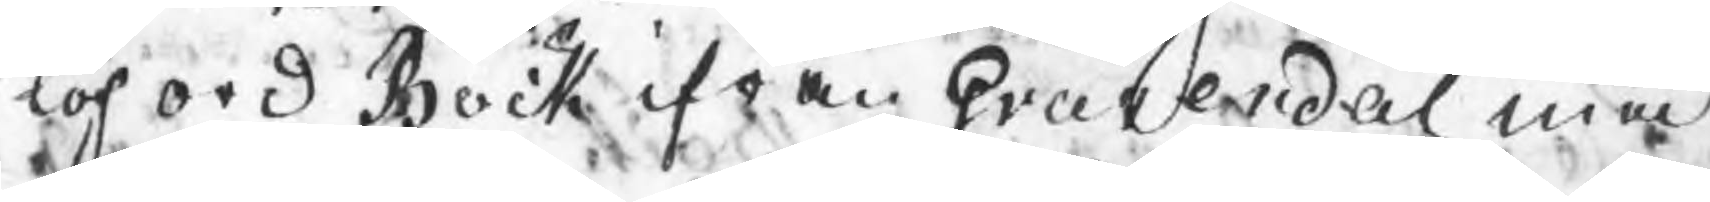loford Bock ifrån Gravendal med
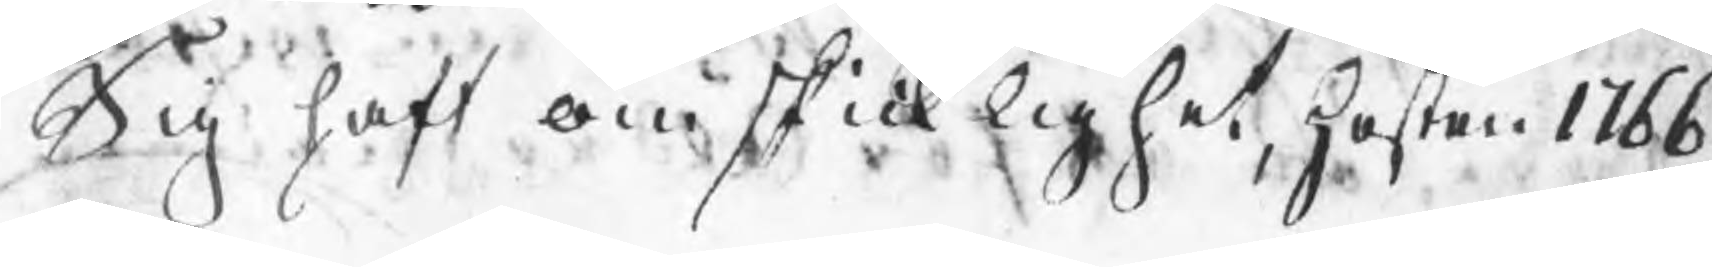Sig haft om skicklighet, hösten 1766
